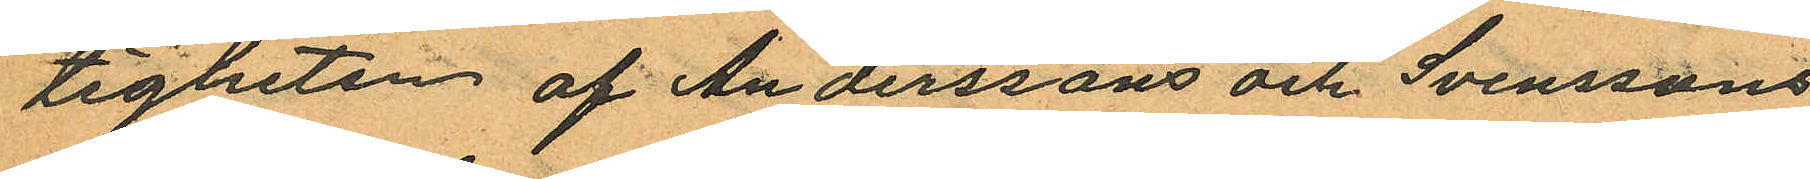tigheten af Anderssons och Svenssons
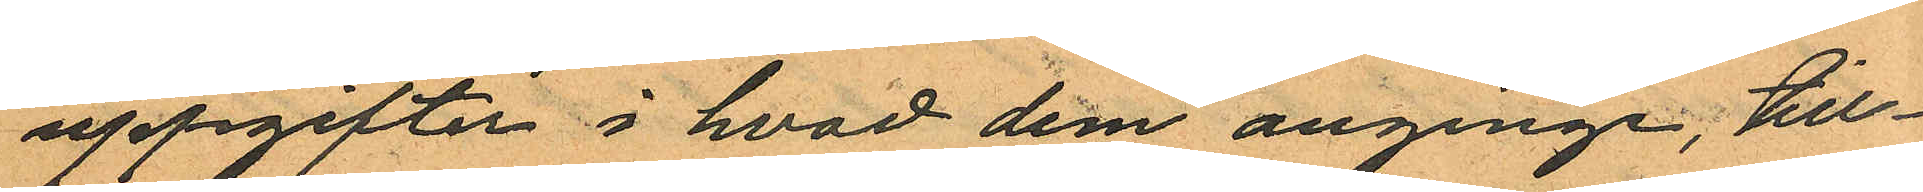uppgifter i hvad dem anginge, till¬
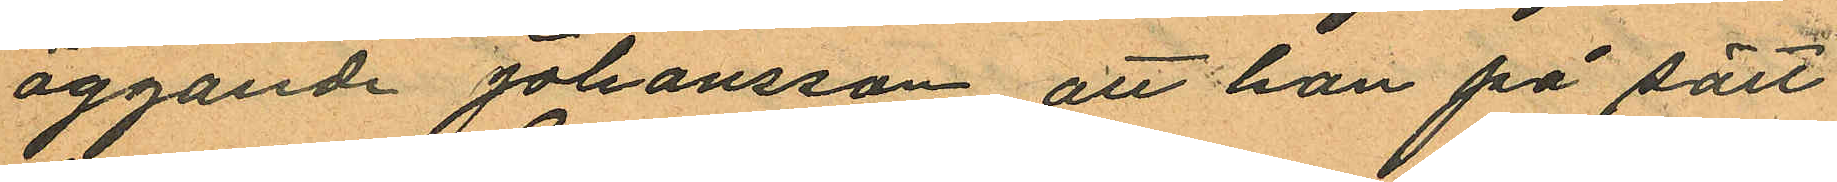äggande Johansson att han på sätt
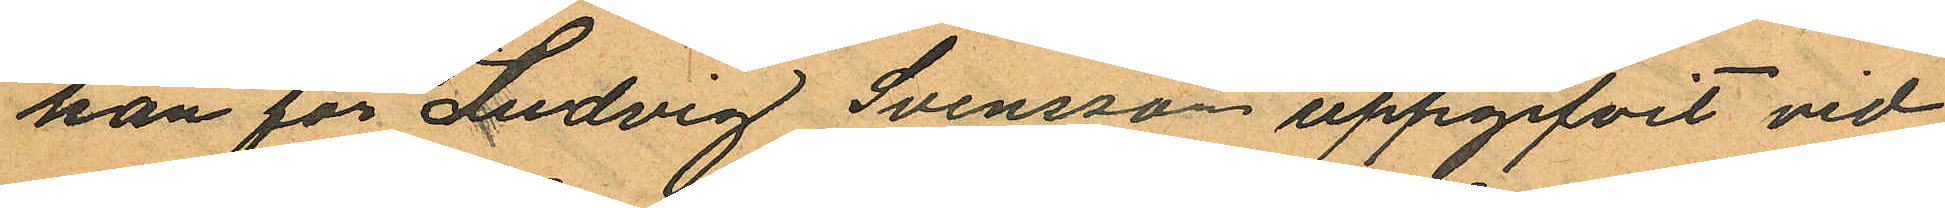han för Ludvig Svensson uppgifvit vid
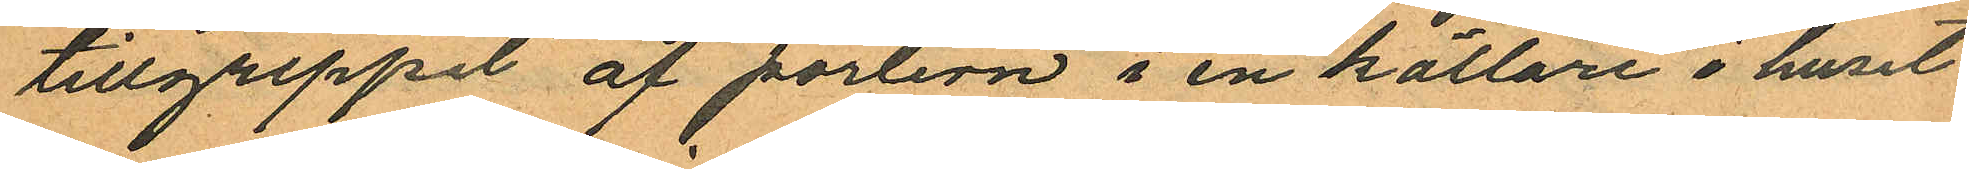tillgreppit af portern i en källare i huset
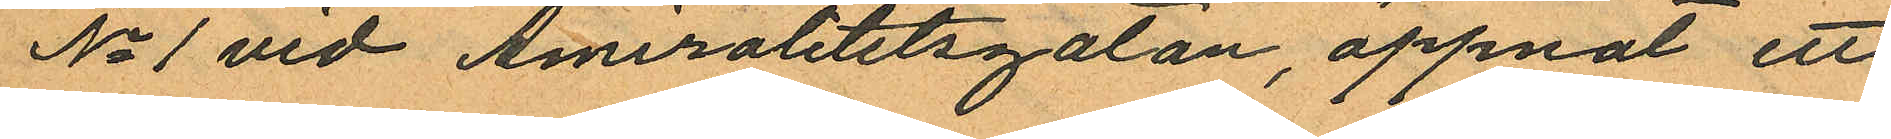No 1 vid Amiralitetsgatan, öppnat ett
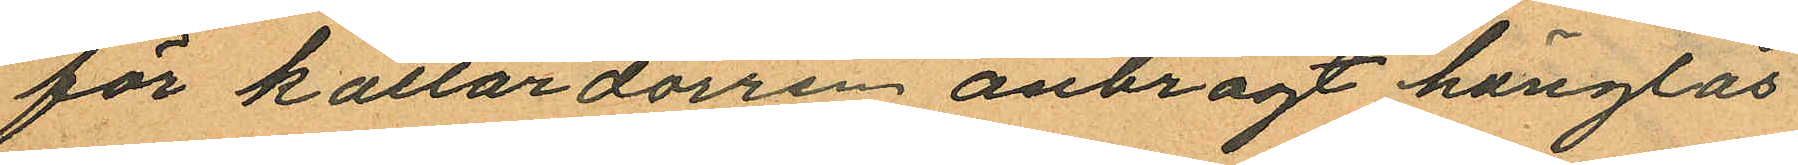för källardörren anbragt hänglås
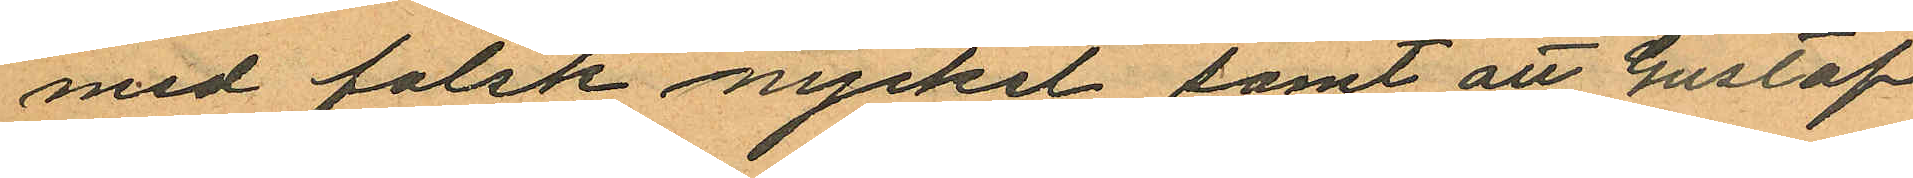med falsk nyckel samt att Gustaf
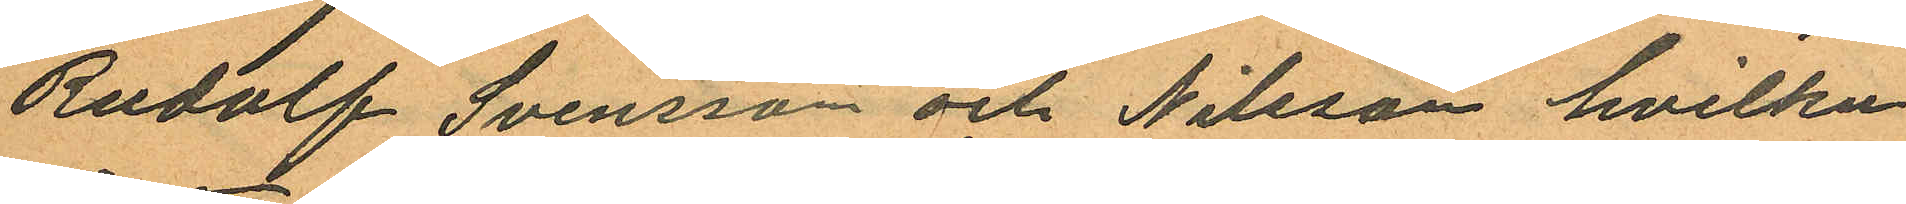Rudolf Svensson och Nilsson hvilka
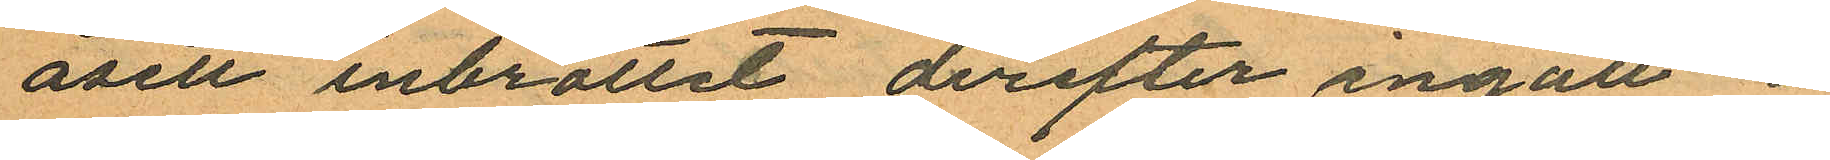åsett inbrottet, derefter ingått i
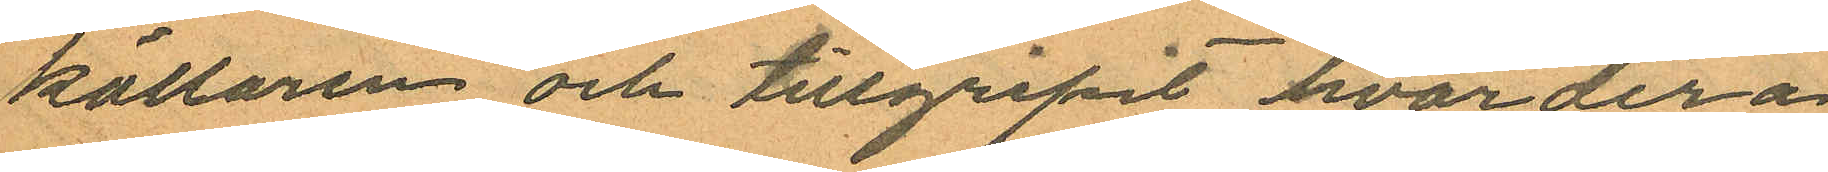källaren och tillgripit hvardera
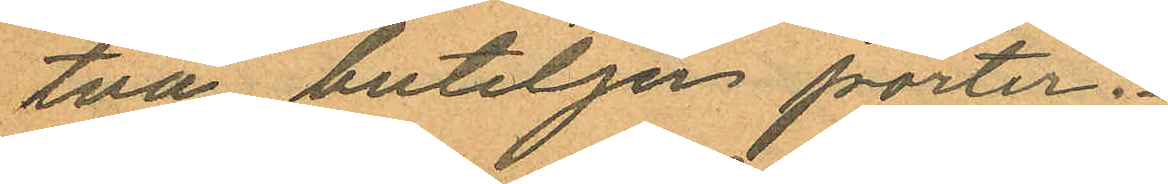två buteljer porter.
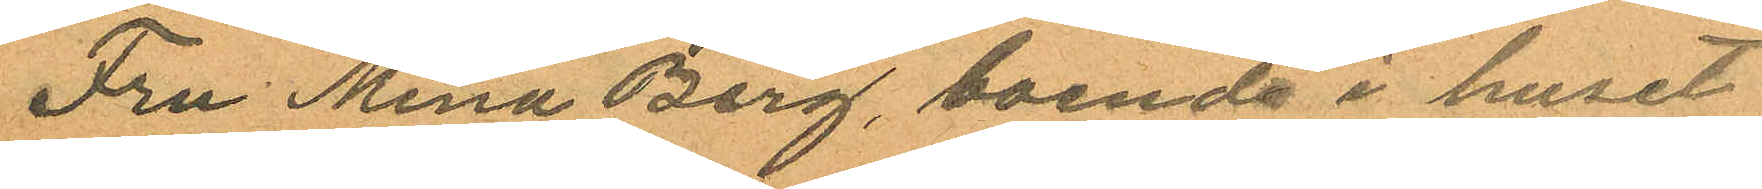Fru Mina Berg, boende i huset
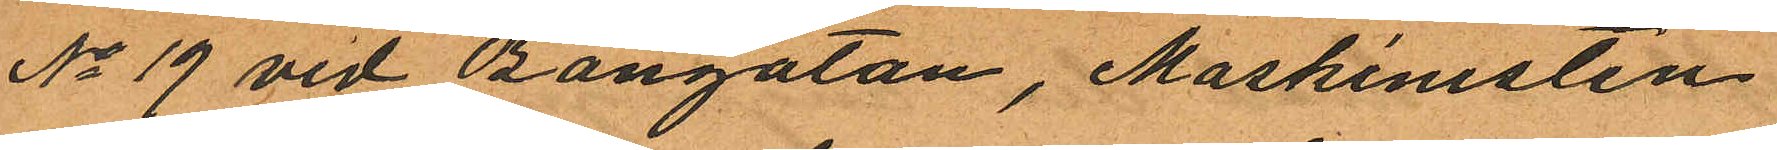No 19 vid Bangatan, Maskinisten
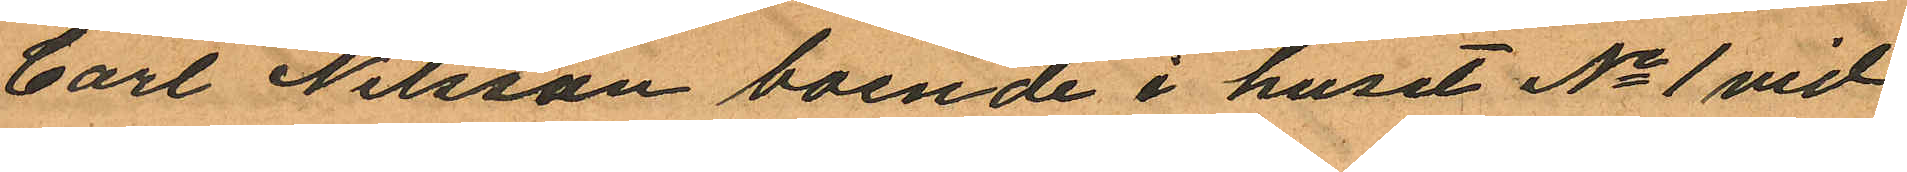Carl Nilsson boende i huset No 1 vid
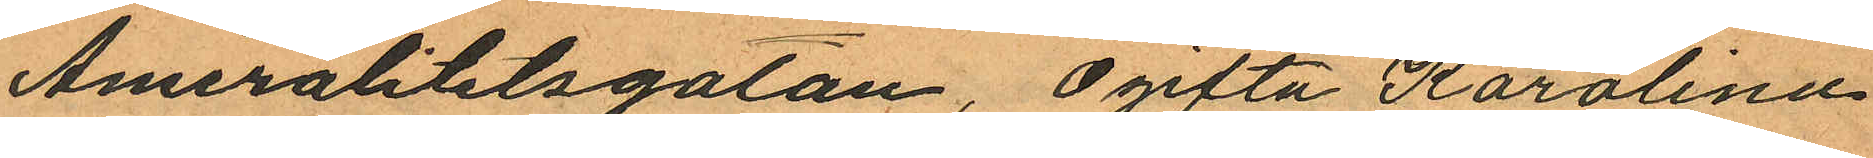Amiralitetsgatan, Ogifta Karolina
